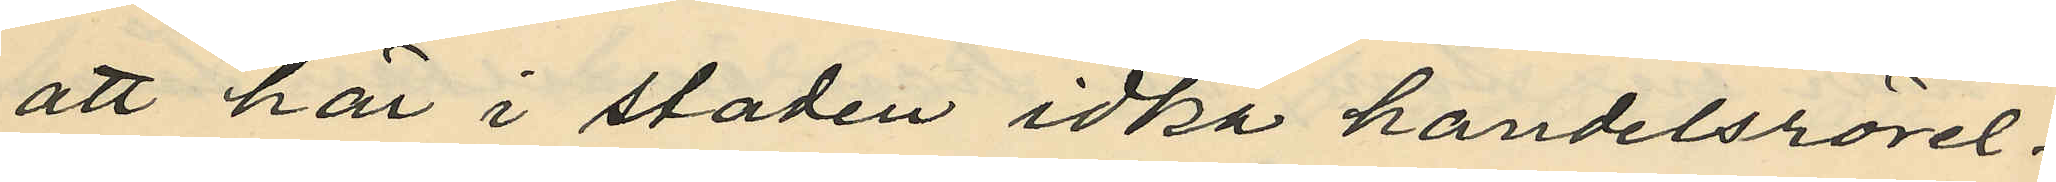att här i staden idka handelsrörel¬
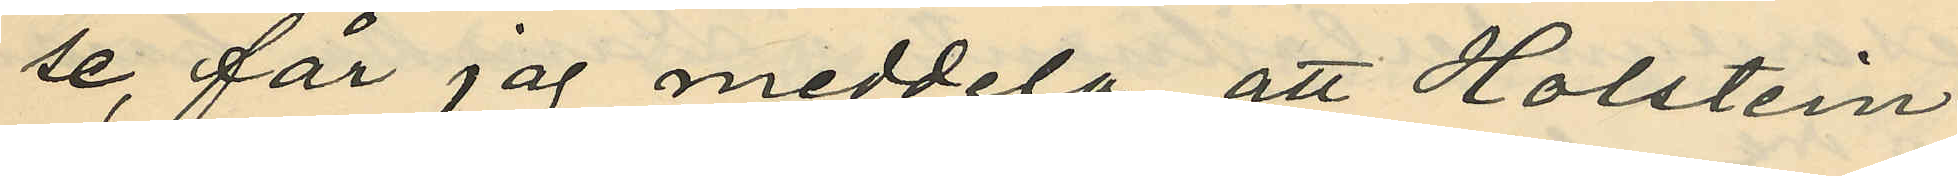se, får jag meddela, att Holstein
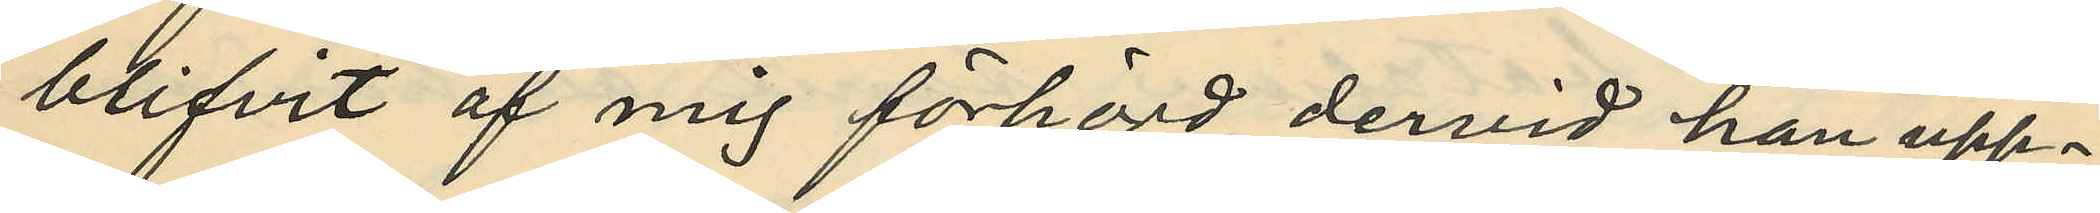blifvit af mig förhörd dervid han upp¬
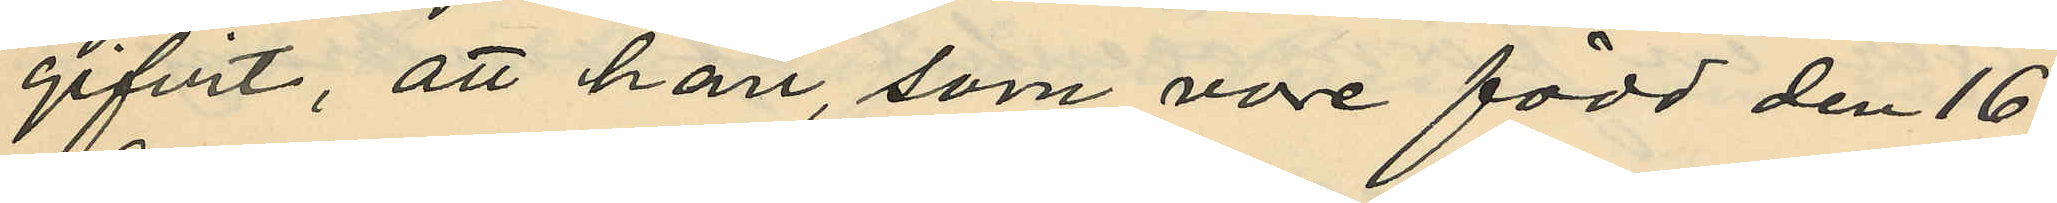gifvit, att han, som vore född den 16
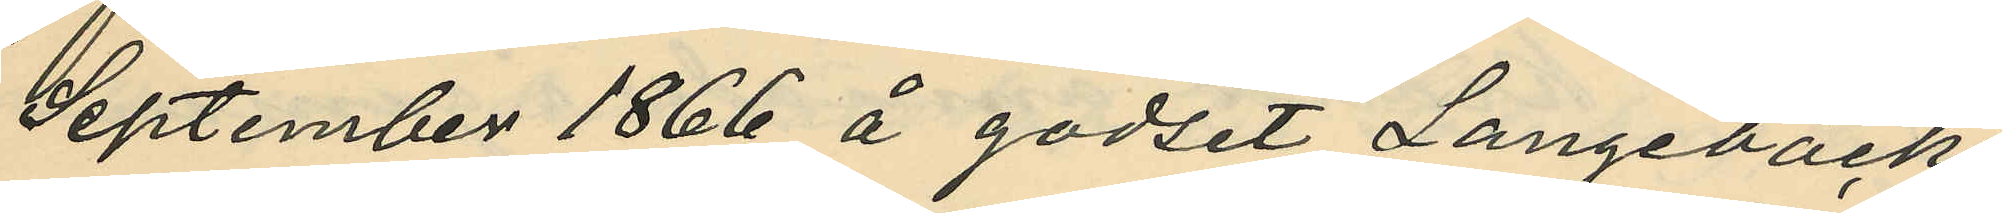September 1866 å godset Langebäcks
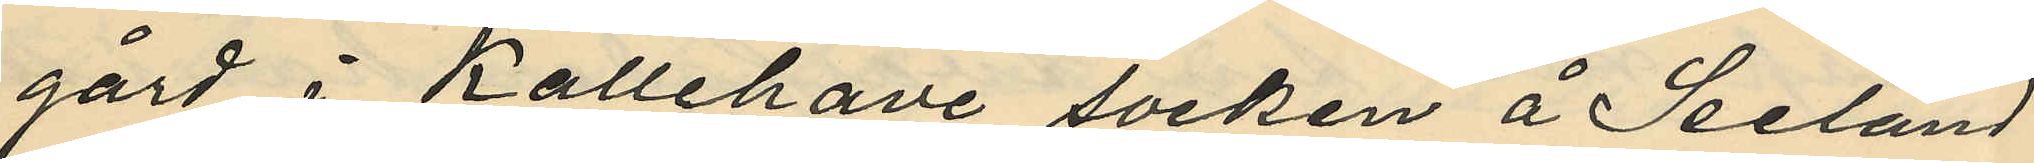gård i Kallehave socken å Seeland
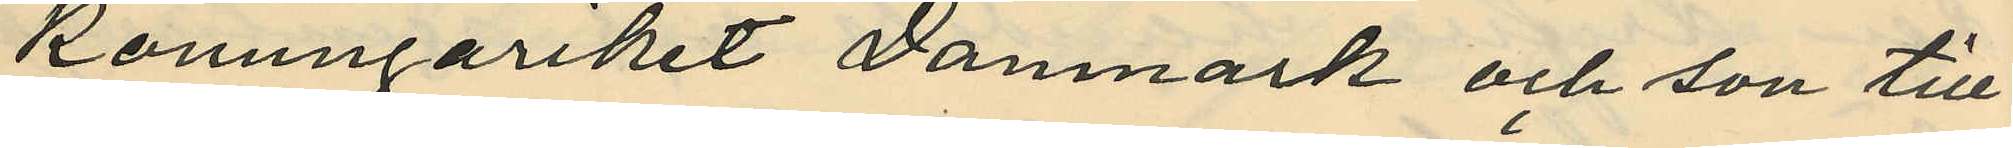konungariket Danmark, och son till
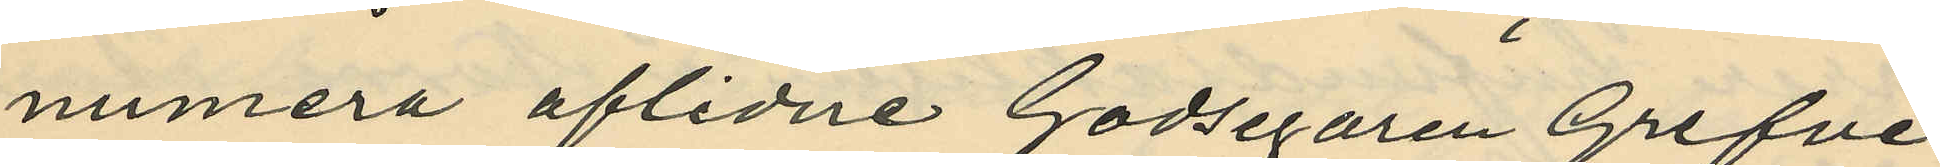numera aflidne Godsegaren Grefve
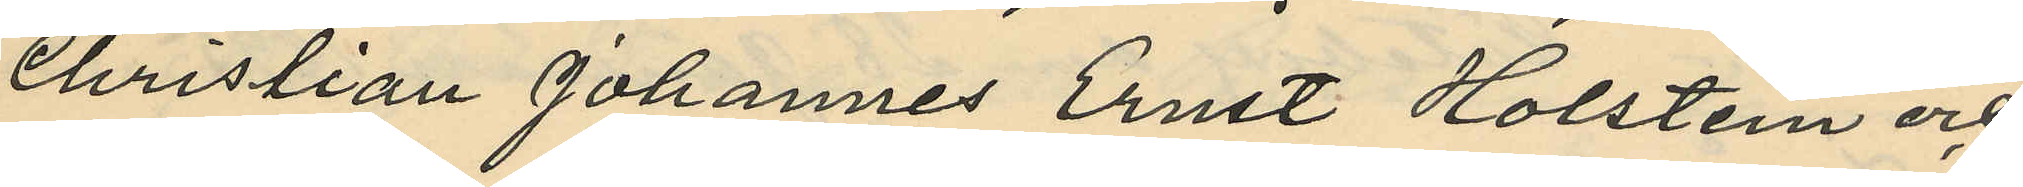Christian Johannes Ernst Holstein och
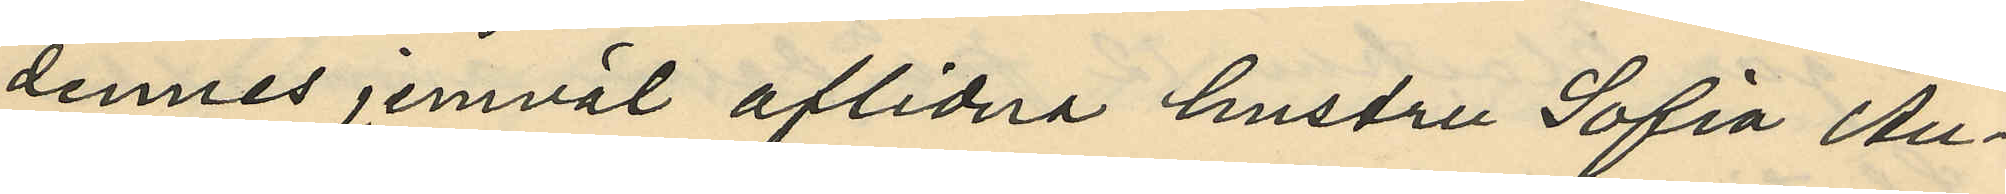dennes jemväl aflidna hustru Sofia Au¬
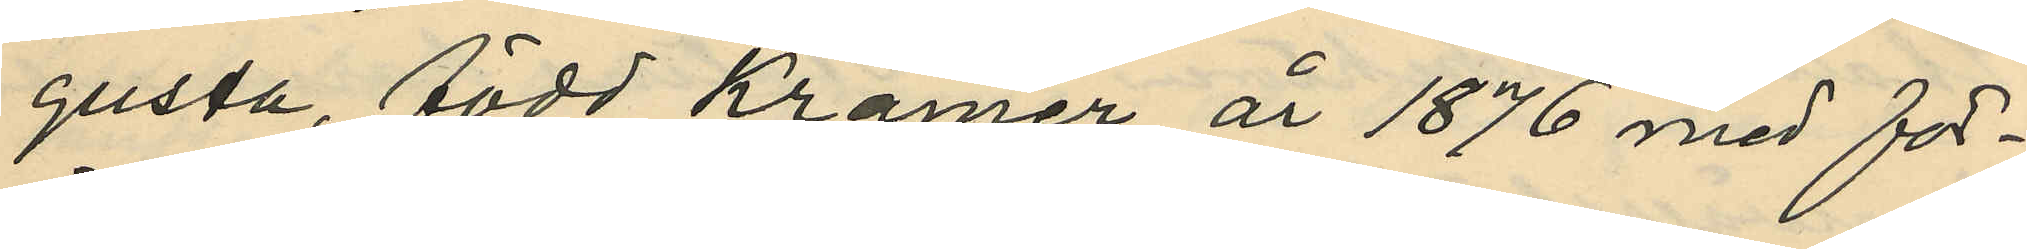gusta, född Kramer år 1876 med för¬
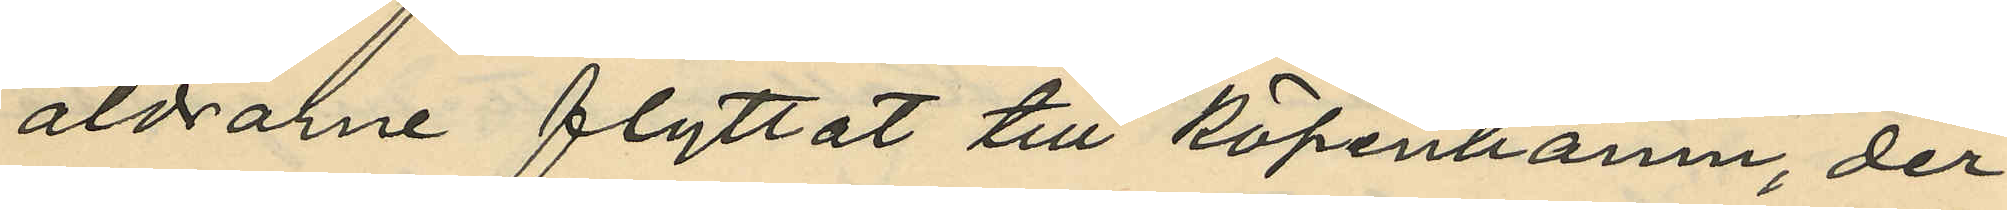äldrarne flyttat till Köpenhamn, der
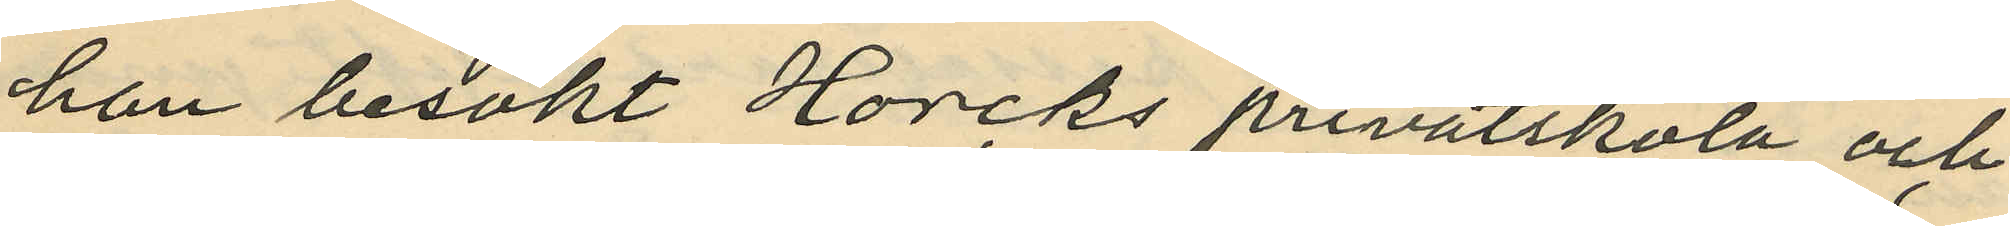han besökt Horcks privatskola och
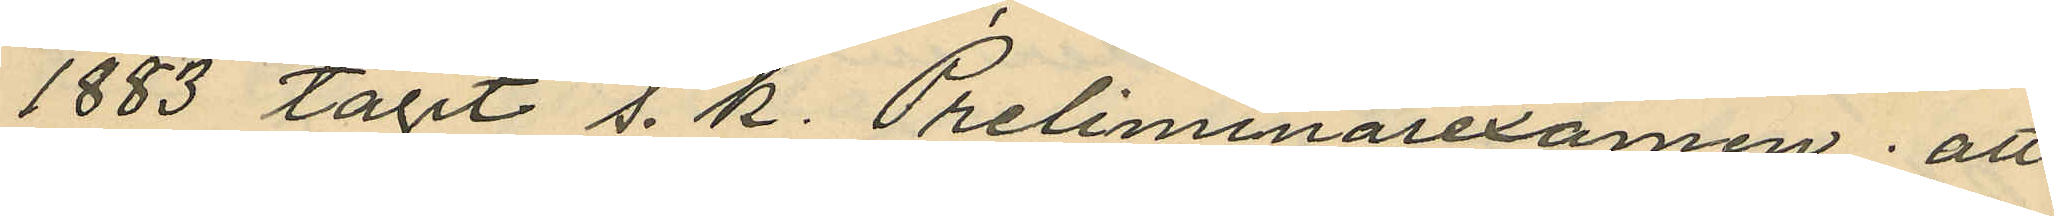1883 tagit s. k. Preliminärexamen; att
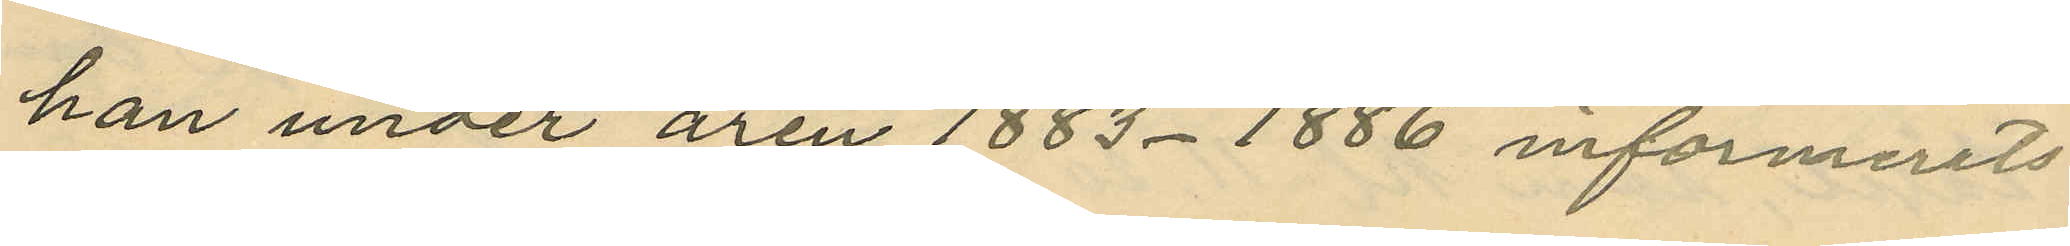han under åren 1883-1886 informerats
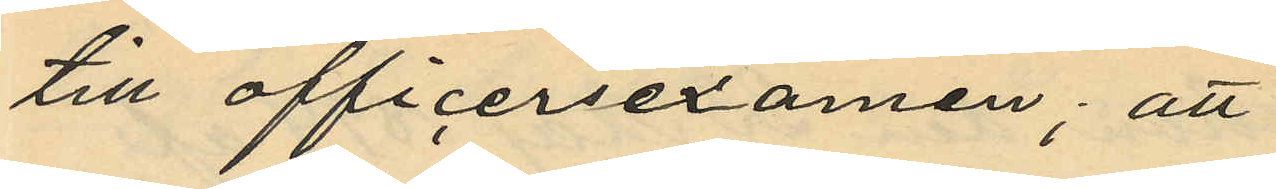till officersexamen; att
